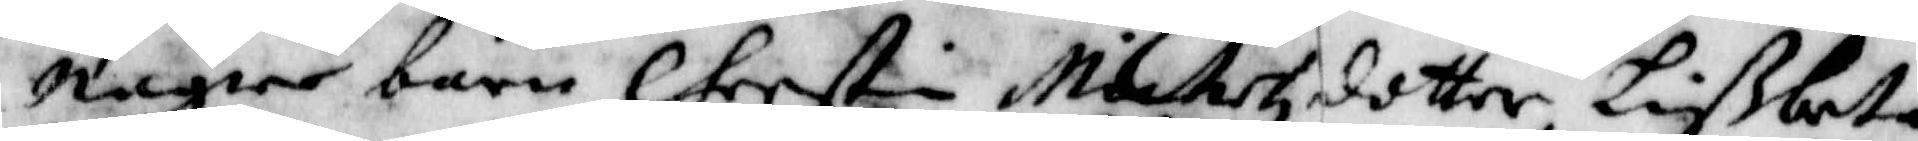någre barn Cherstin Michelzdotter Lißbeta
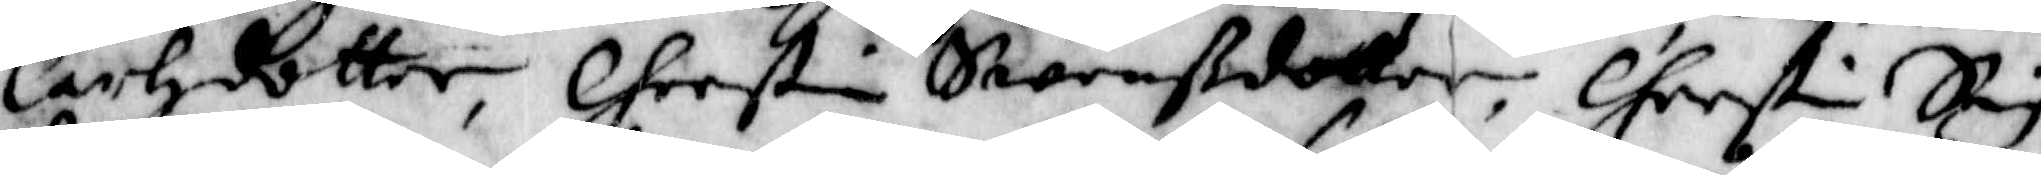Carlzdotter, Cherstin Swenßdotter, Cherstin Sig¬
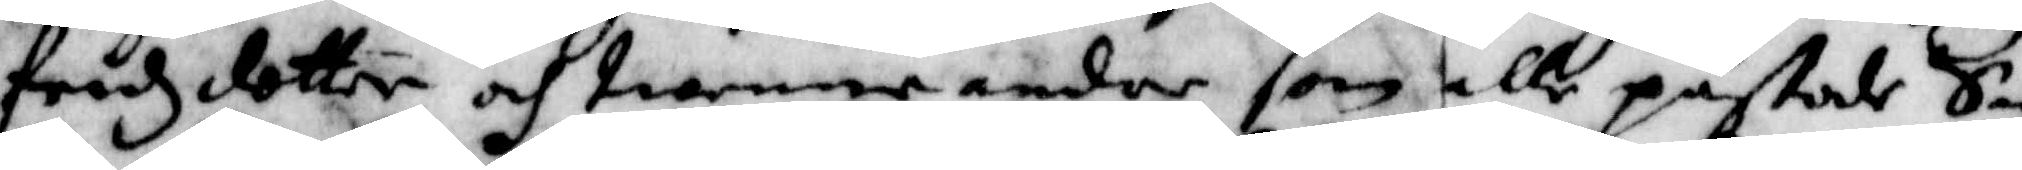fredzdotter och twenne andre som alle påstode Sigh
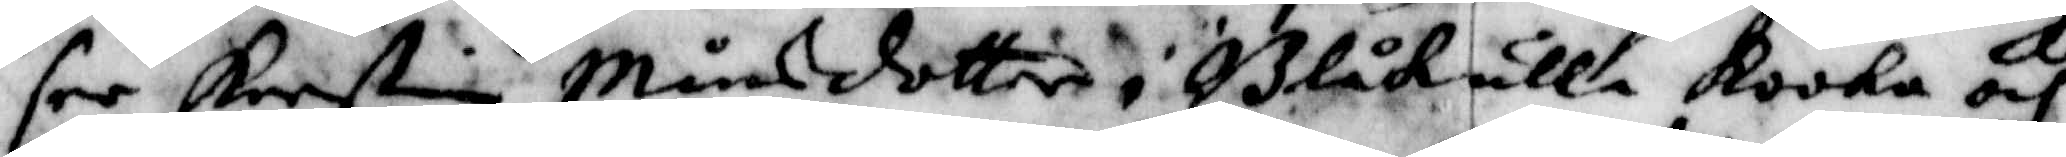ser Kerstin Månsdotter i Blåkulla kooka och
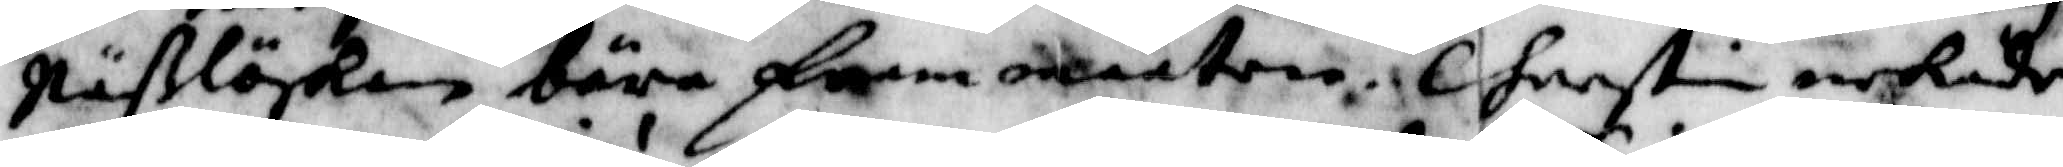Näßlöskan bära fram maten. Cherstin nekade
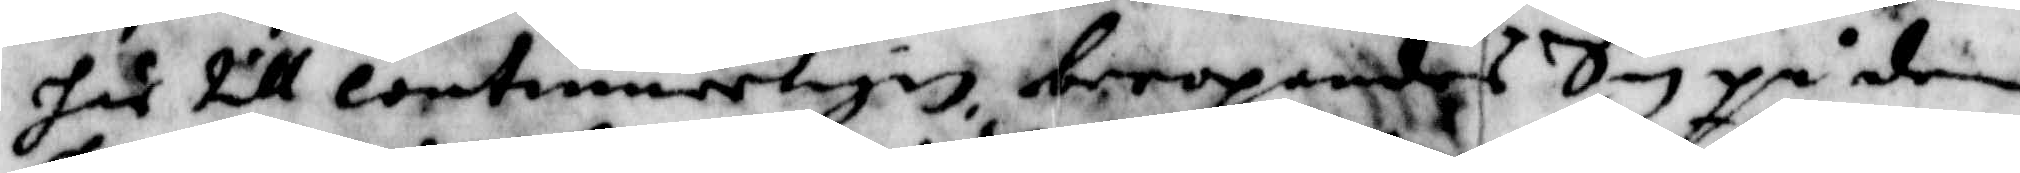her till continuerligen beropandes Sig på den
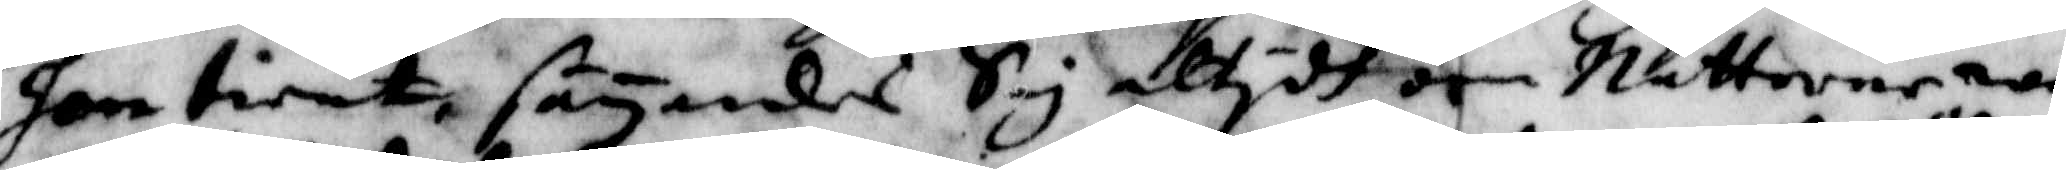hon tient, säyandes Sig altydh om Nätterna wa¬
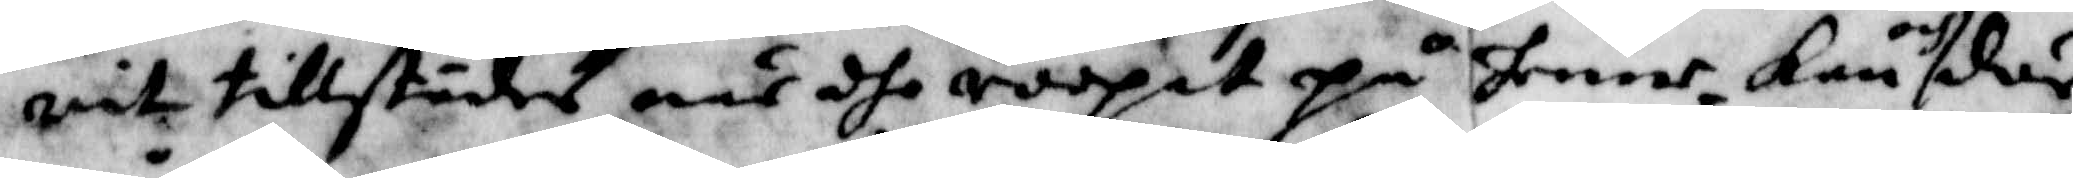rit tillstädes när dhe ropat på henne, kan och där¬
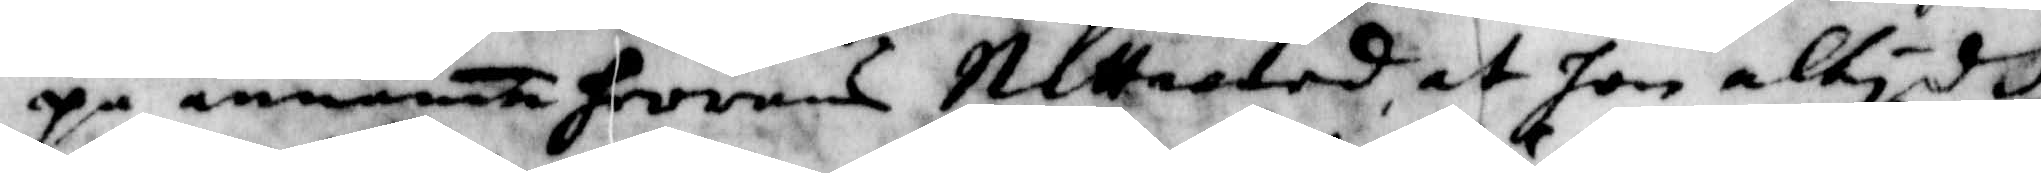på annamat herrans Nattward, at hon altidh
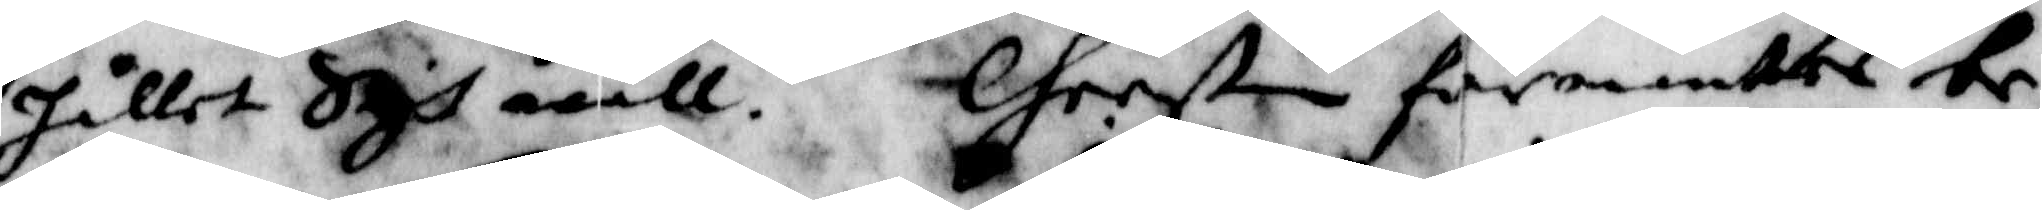hållet Sigh wäll. Chersin förmantes be¬
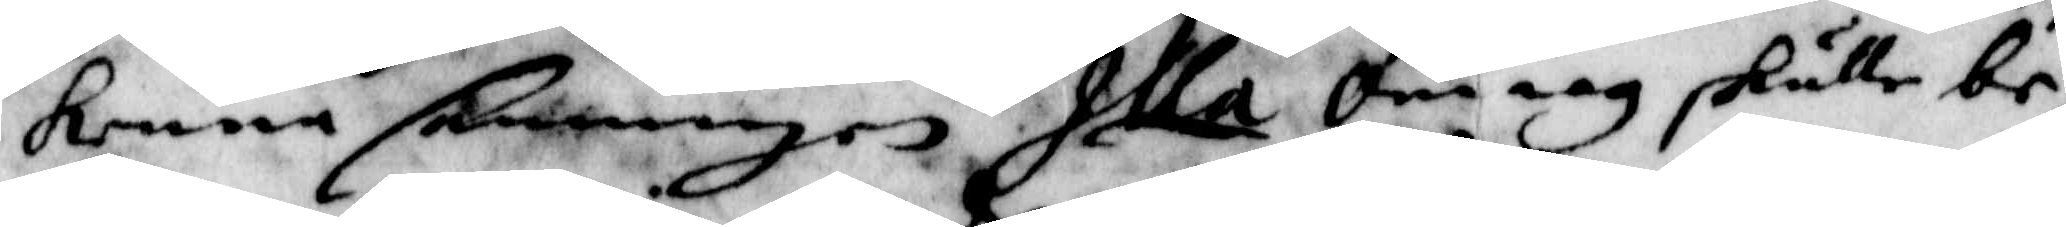kenna sanningen Illa om iag skulle be¬
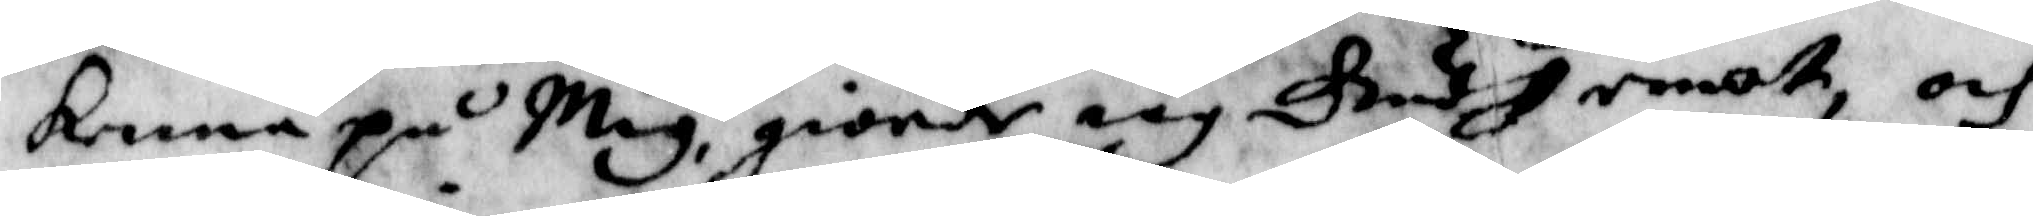kenna på Mig giorde iag Gudh emot, och
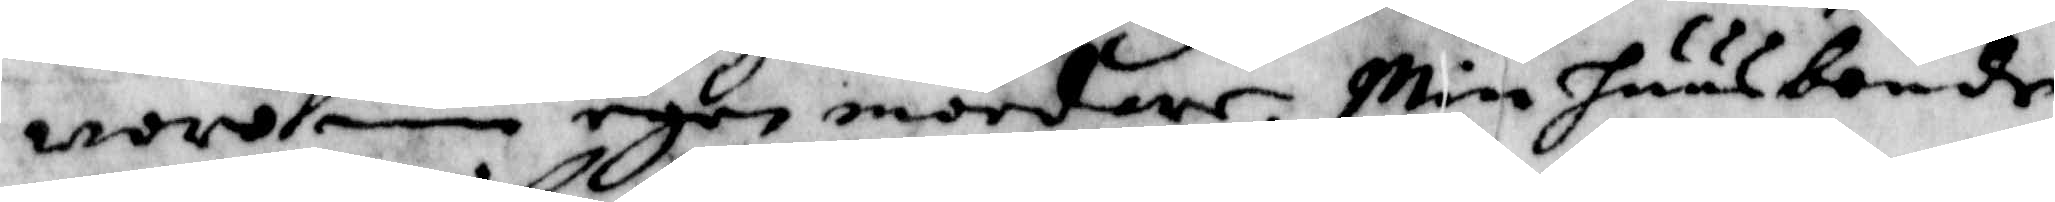woro min egen mördare. Min huusbonde
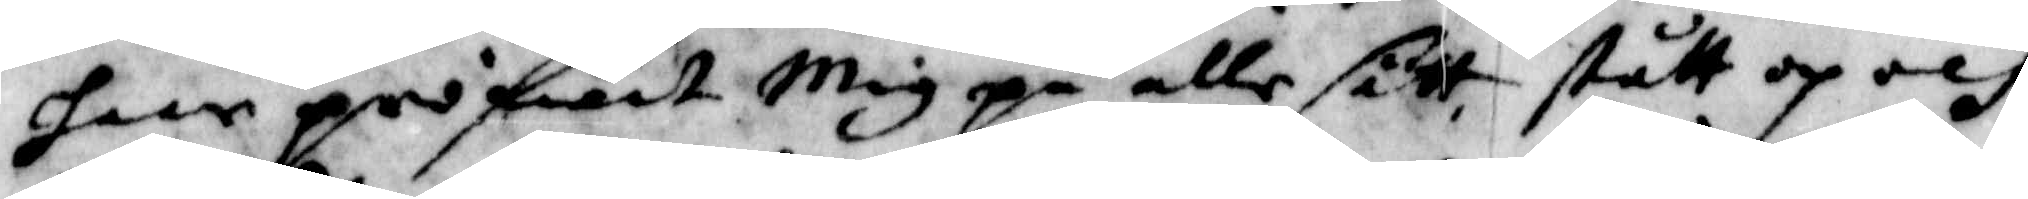haar pröfwat Mig på alle sätt, stått op och
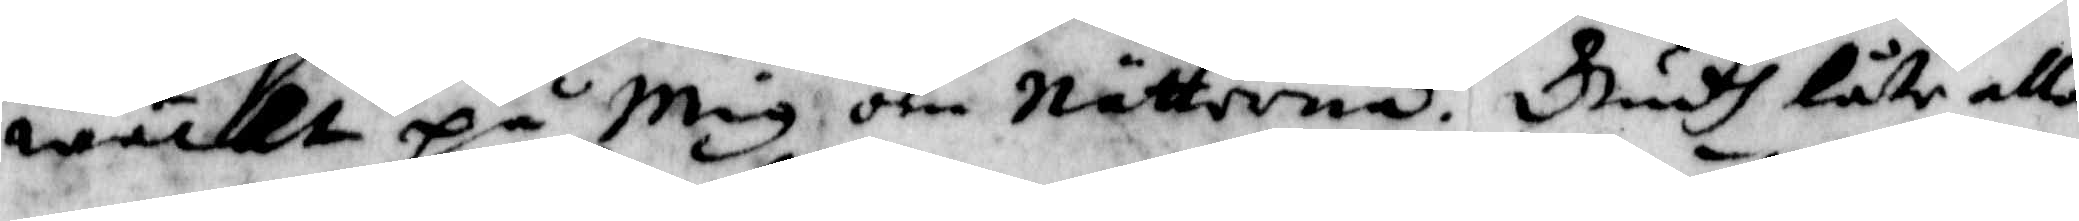wäckt på Mig om Nätterna. Gudh låte alla
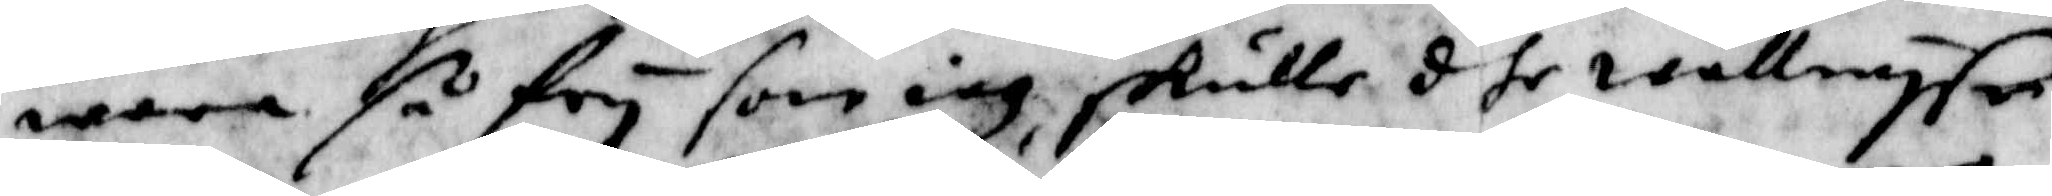wara så fry som iag, skulle dhe wällwyse
